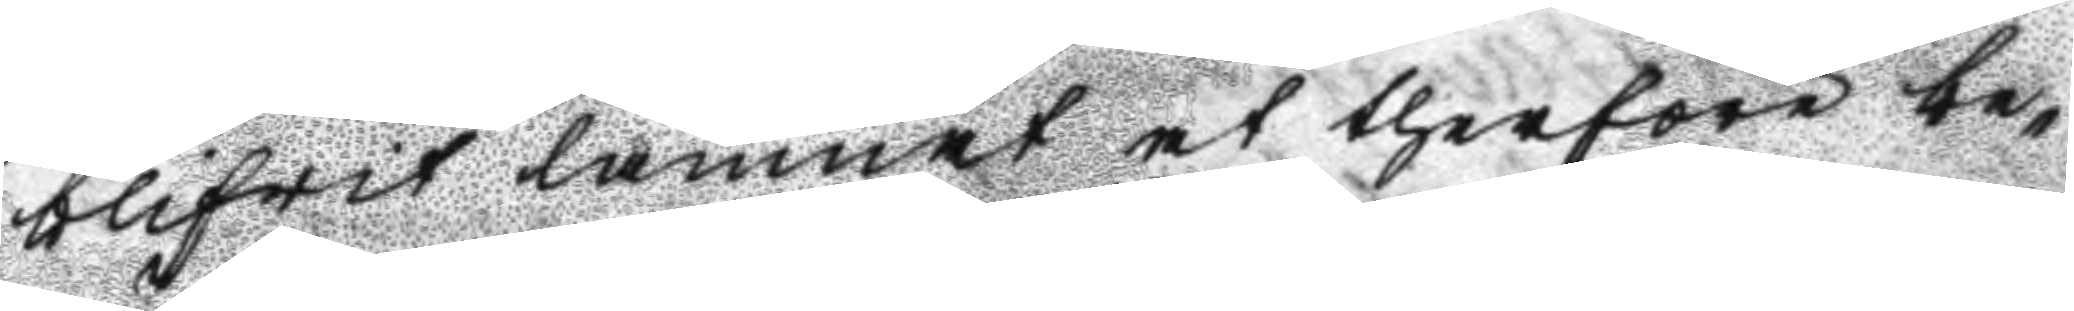blifwit lämnat at therföre be¬
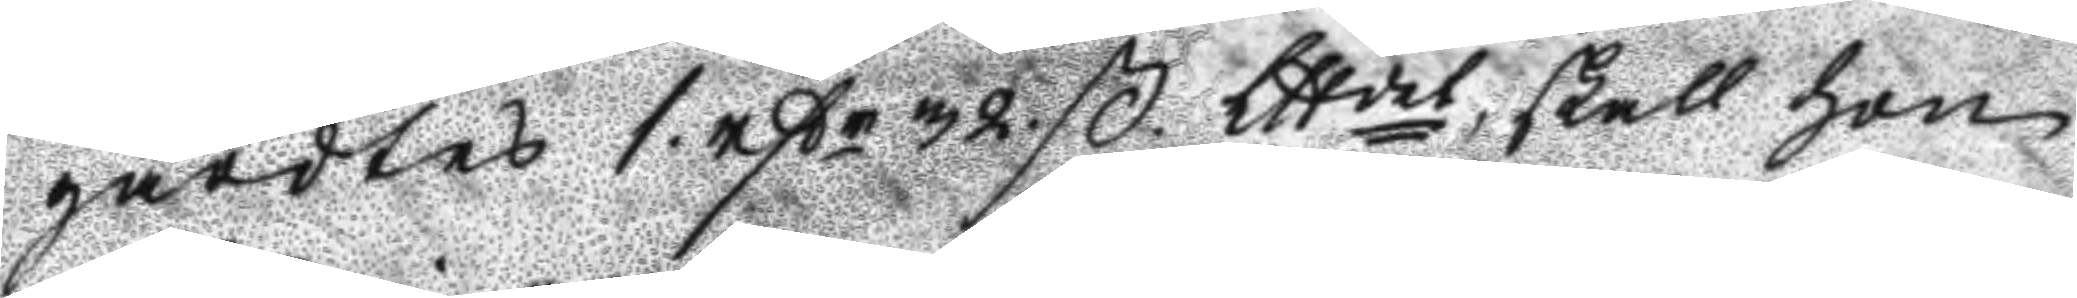gärdes 1 rßr 32. ß.Lttdet, skall hon
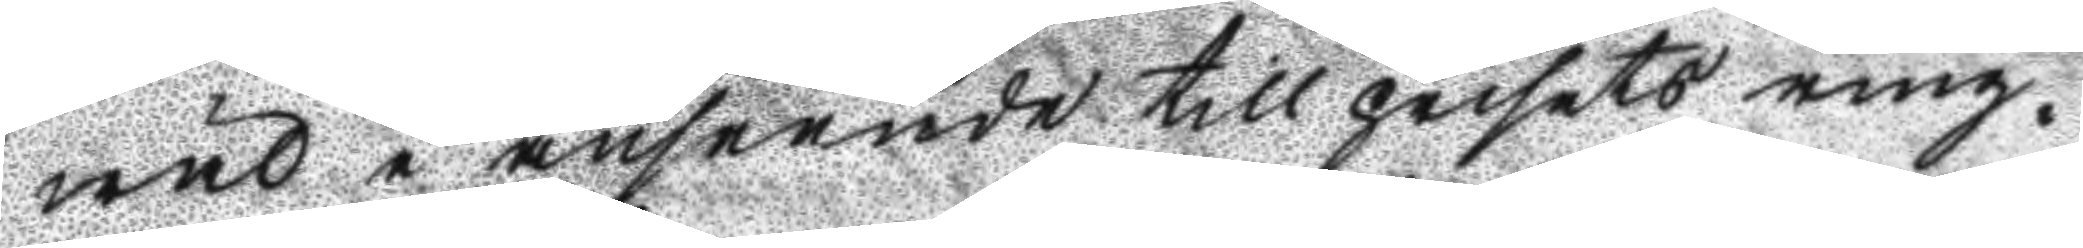wäl i anseende till prisets ring¬
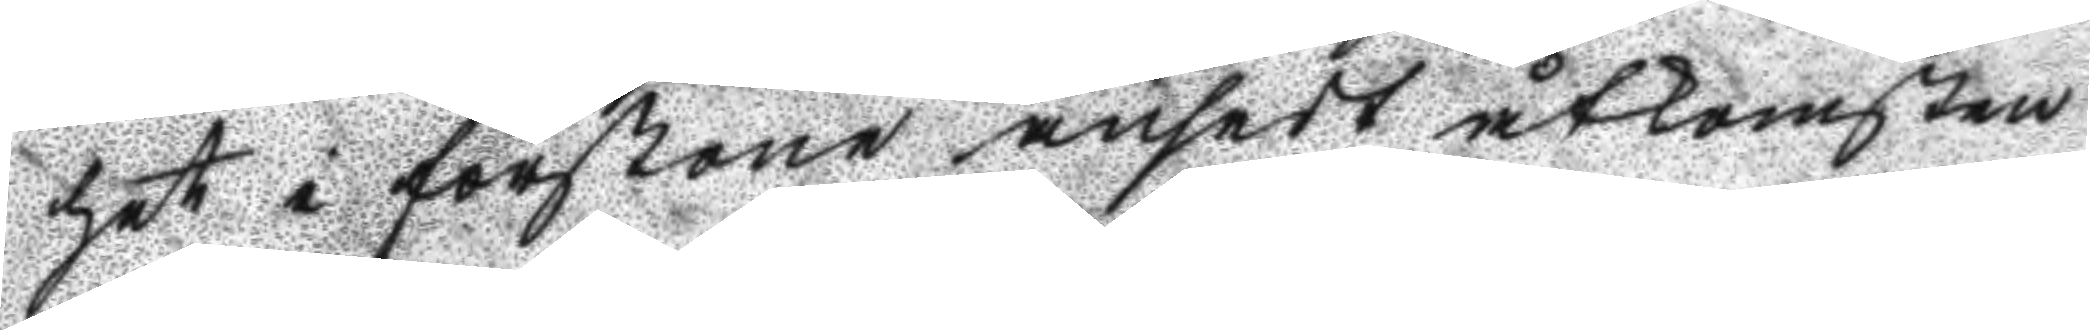het i förstone ansedt åtkomsten
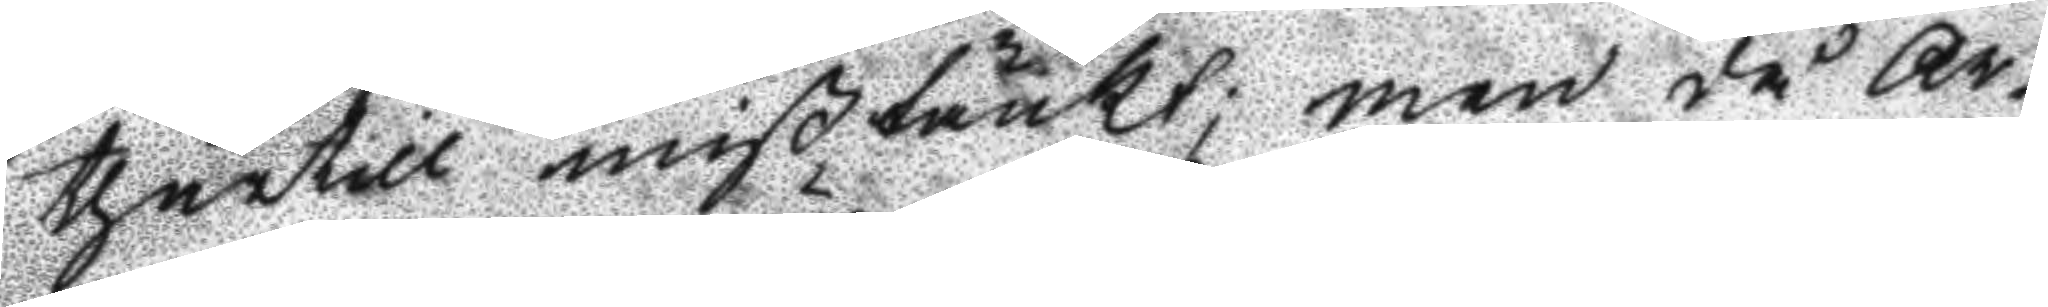thärtill mißtänkt; men då Ar¬
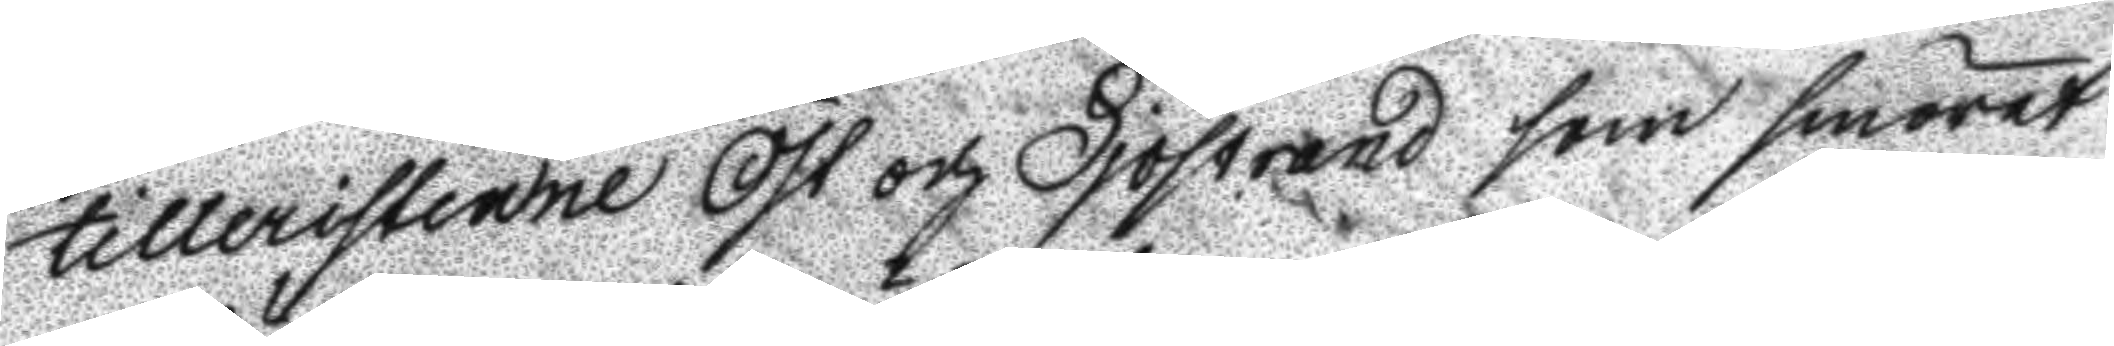tilleristerne Öst och Sjöstrand som smöret
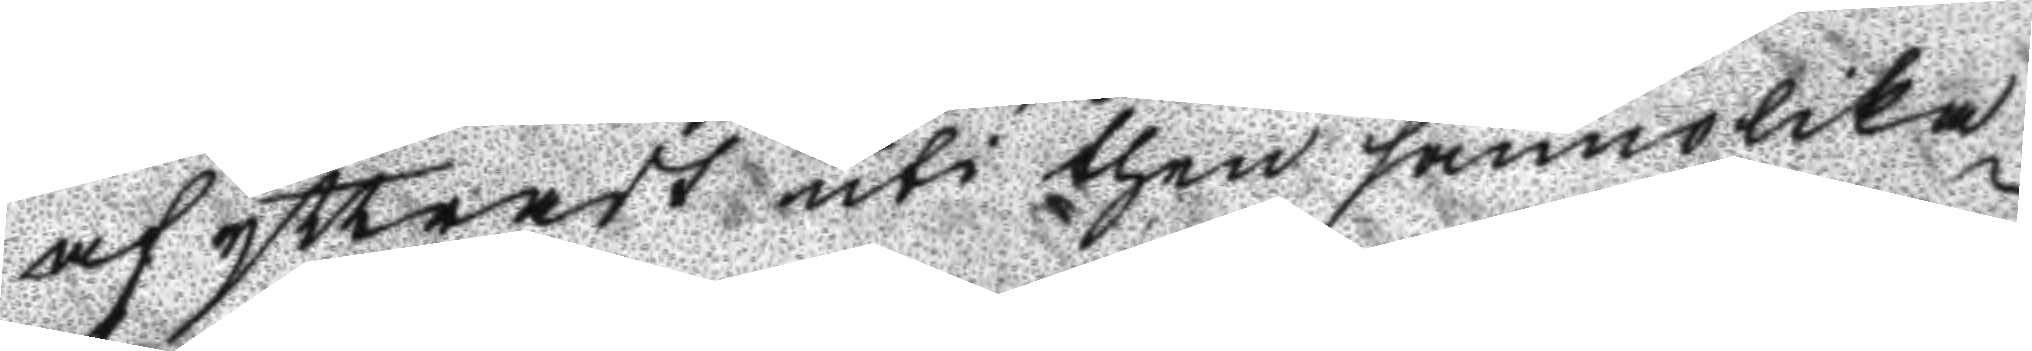afyttradt uti then sannolika
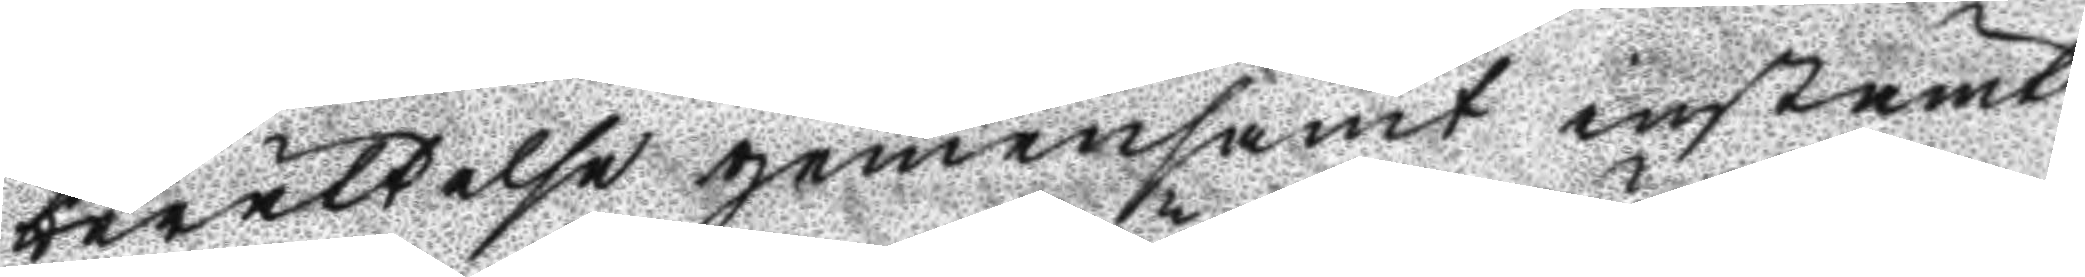berättelse gemensamt instämt
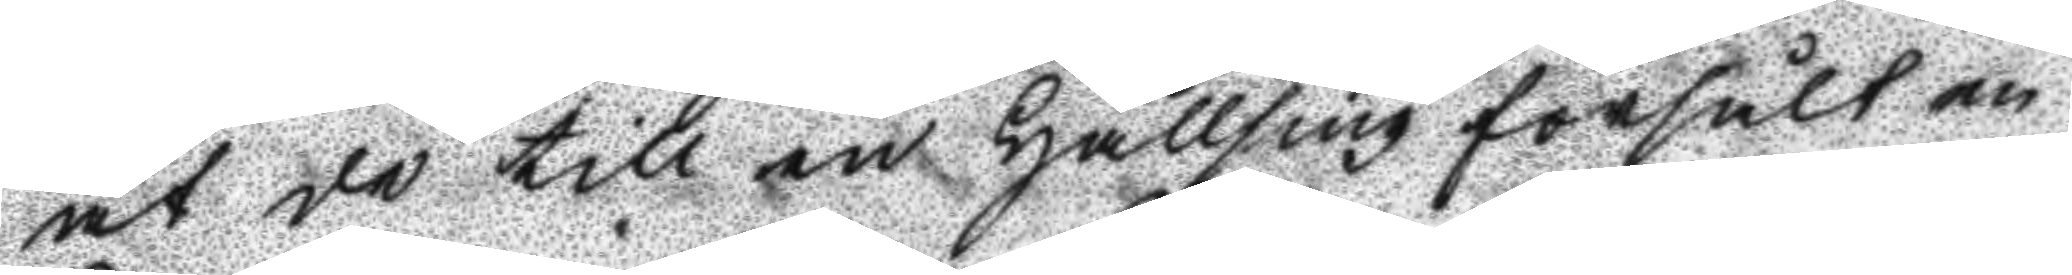at de till en Hällsing försålt en
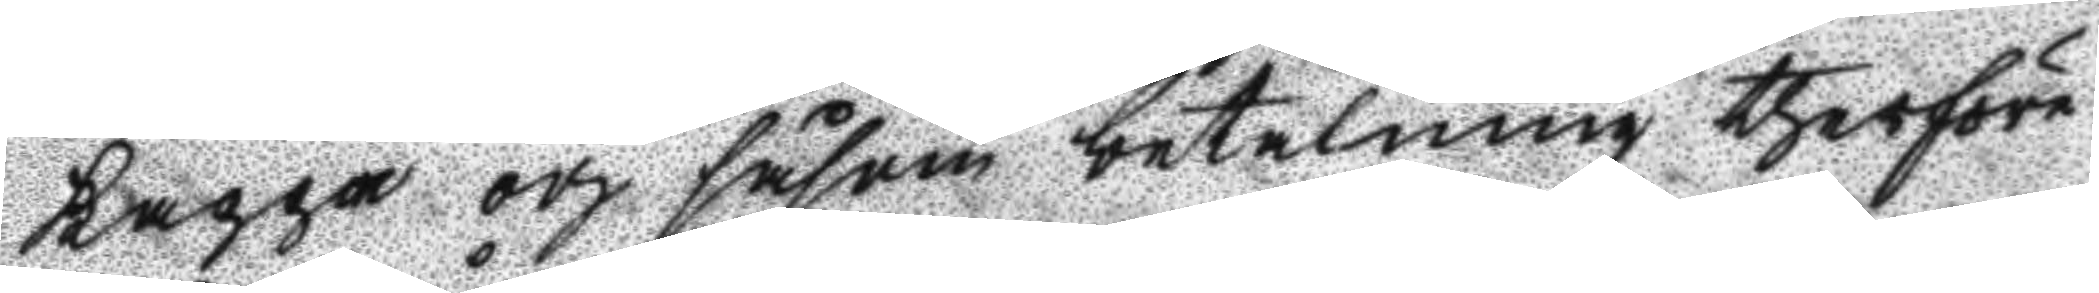Kappa och såsom betalning therföre
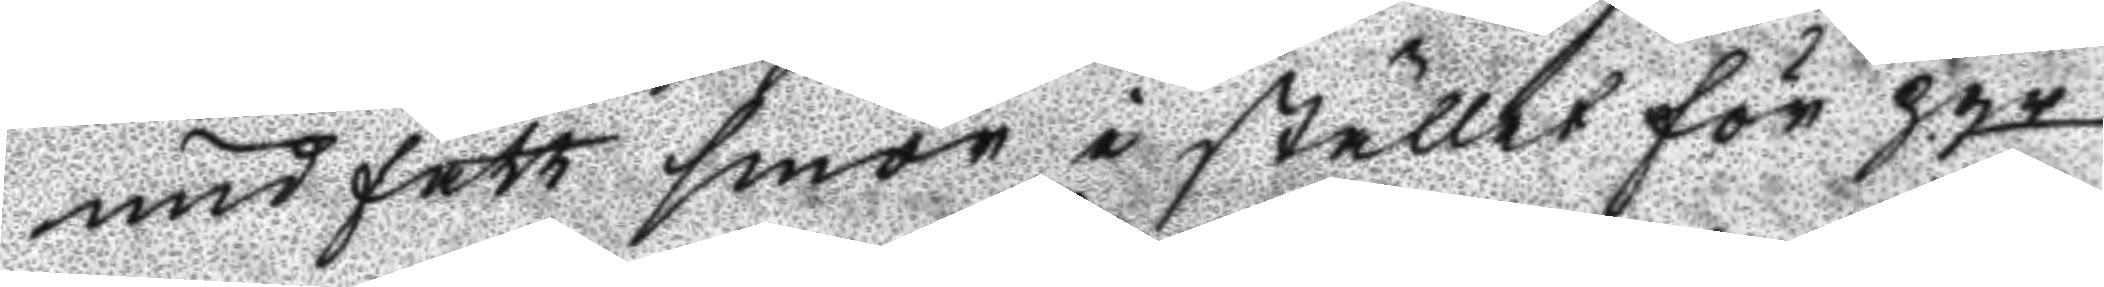undfått smör i stället för pgr
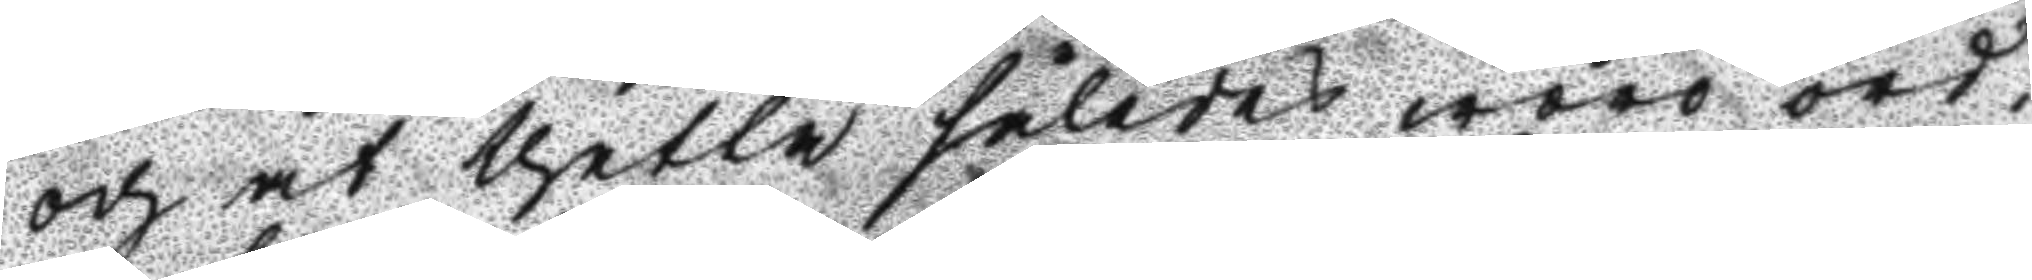och at thetta således woro ord¬
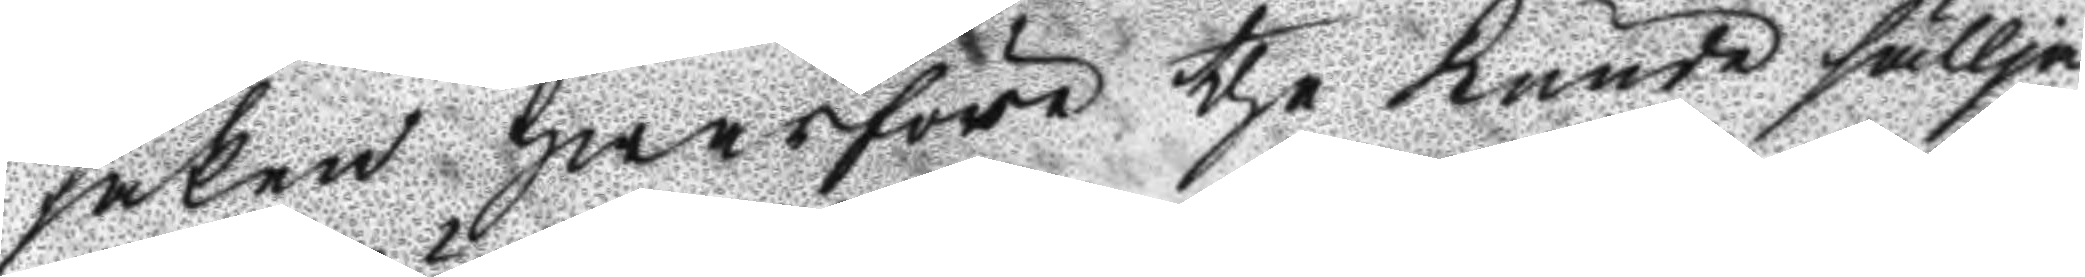saken Hwarföre the kunde sällja
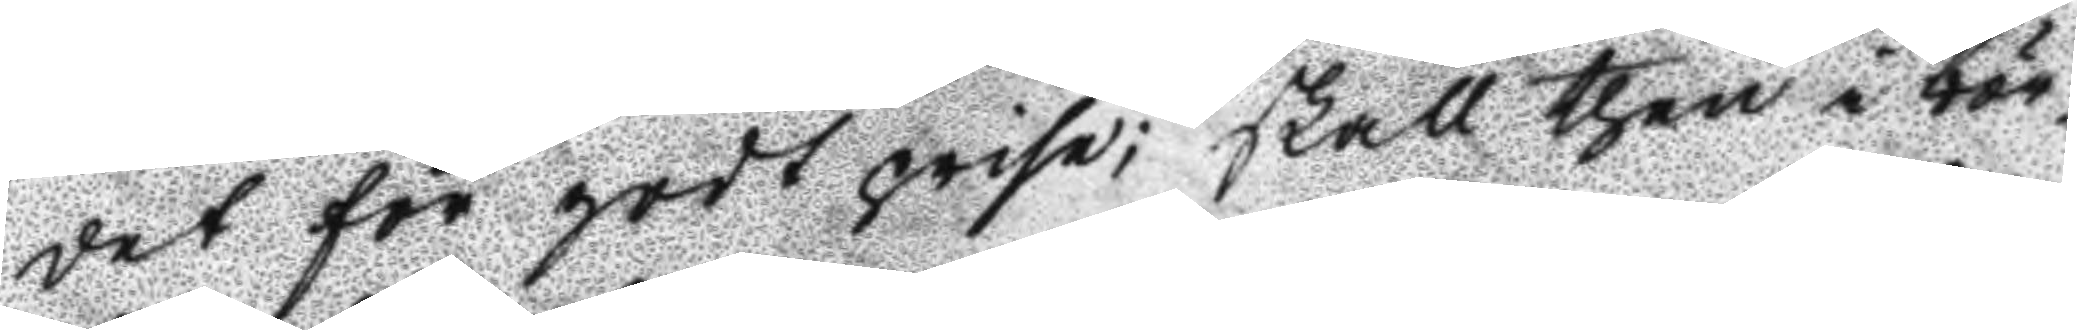det för godt prise; Skall then i bör¬
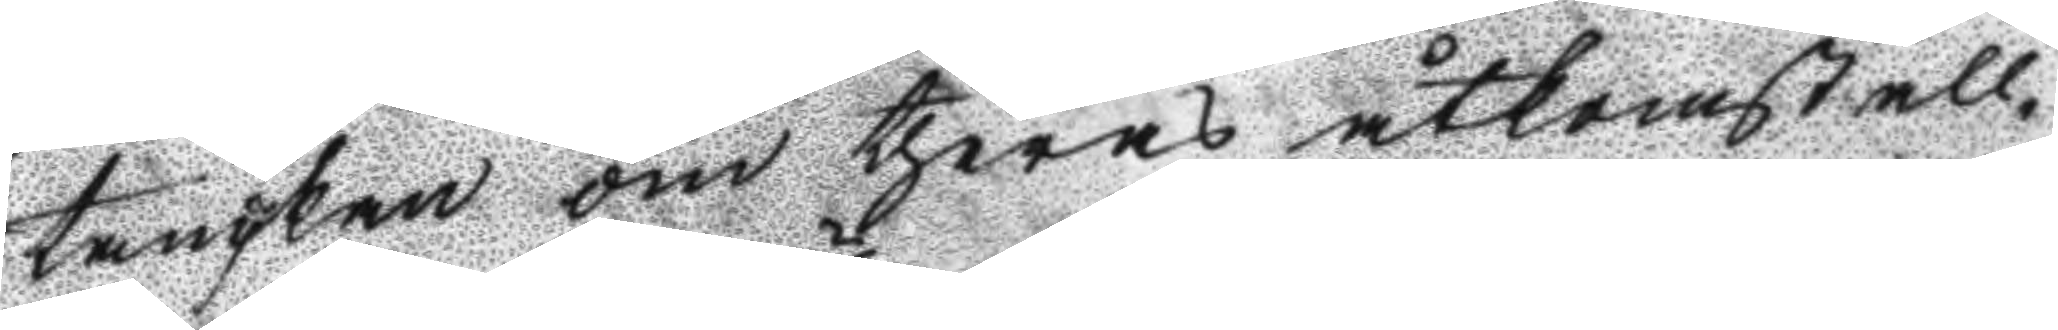tanckan om theras åtkomst all¬
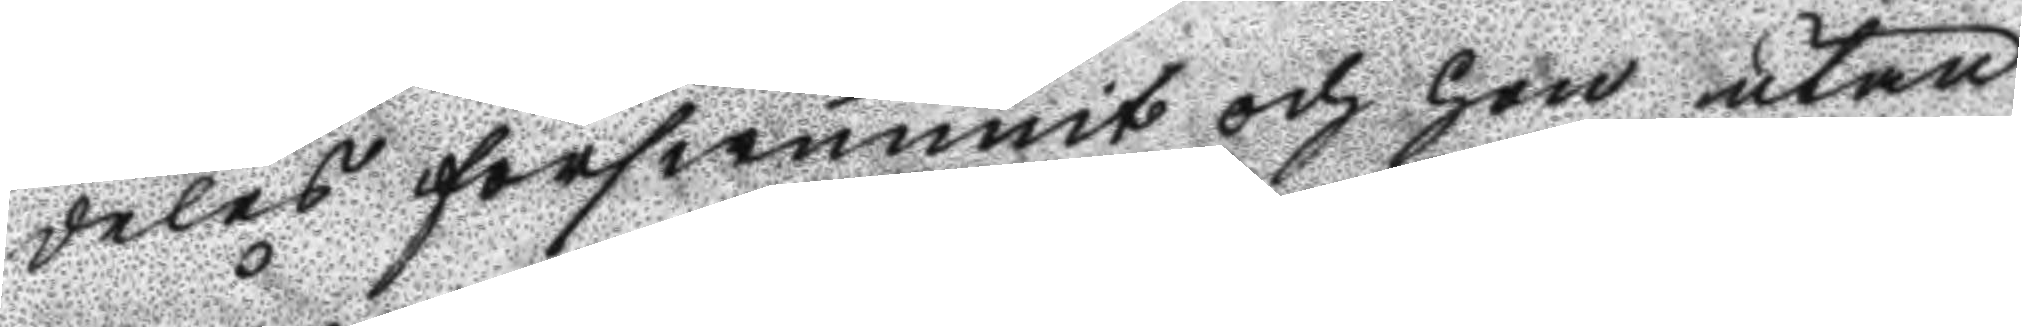deles förswunnit och hon utan
